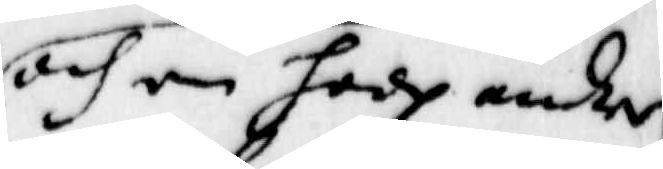och om hade andre
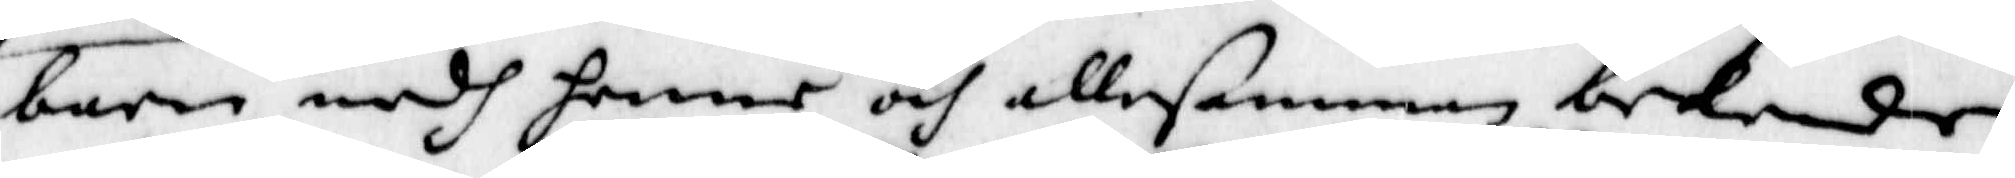barn medh henne och allesamman bekiende
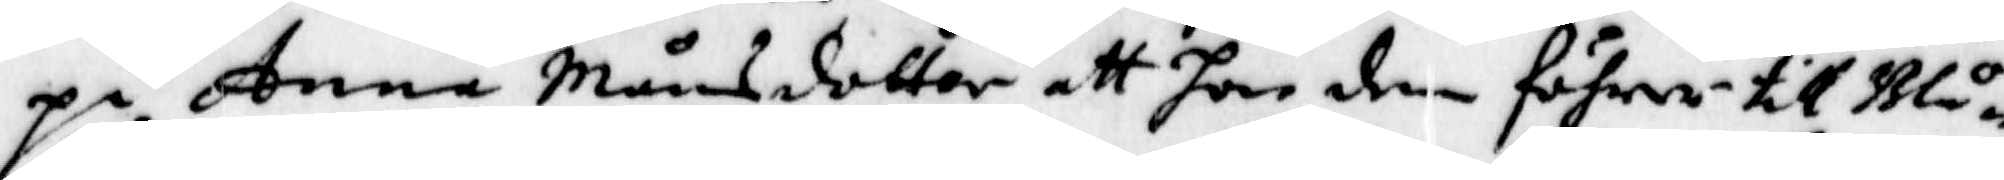på Anna Månsdotter att hon dem föhrer till Blå¬
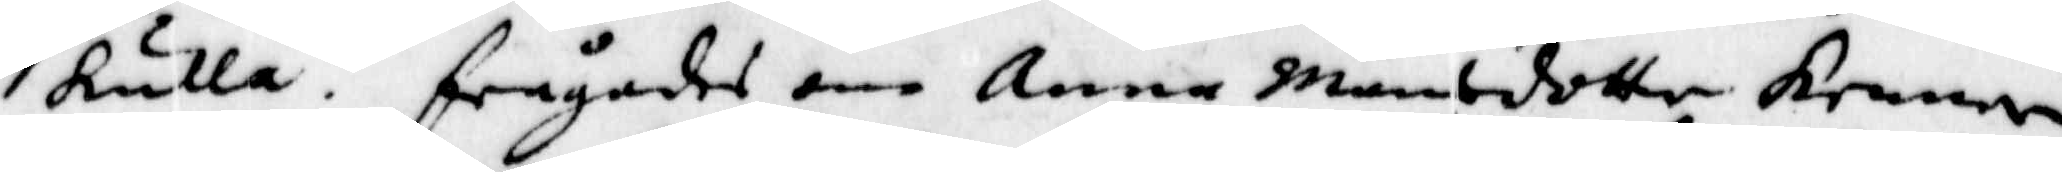kulla. frågades om Anna Månsdotter kenner
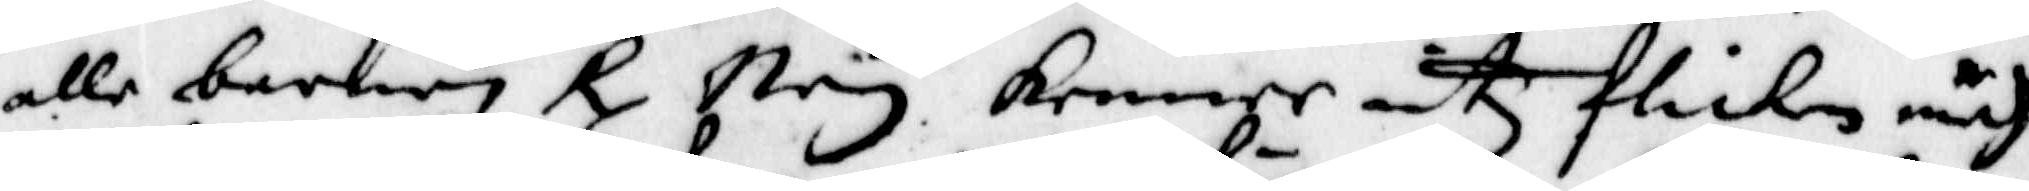alle barnen Rx Ney kenner intz flickan medh
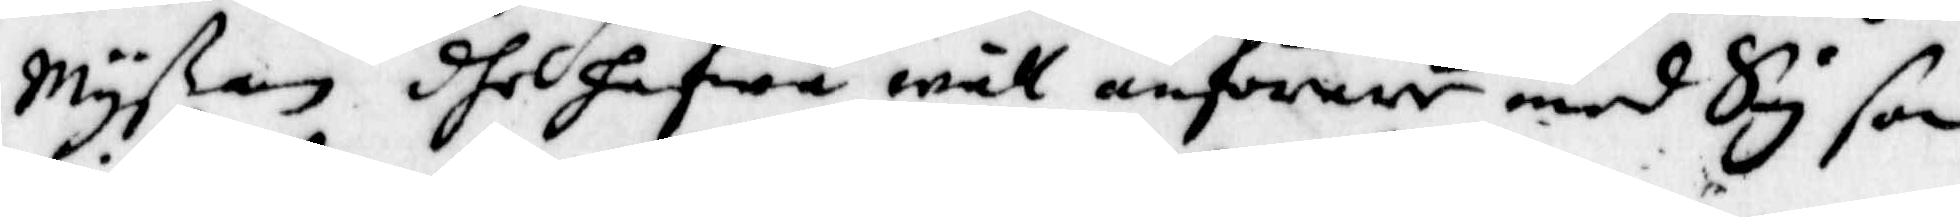myßan dher hafwa wäll anförare med Sig som
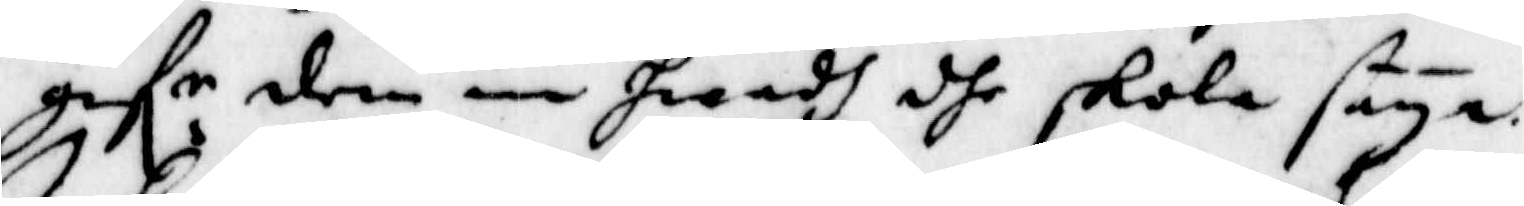gif:r dem in hwadh dhe skola säya.
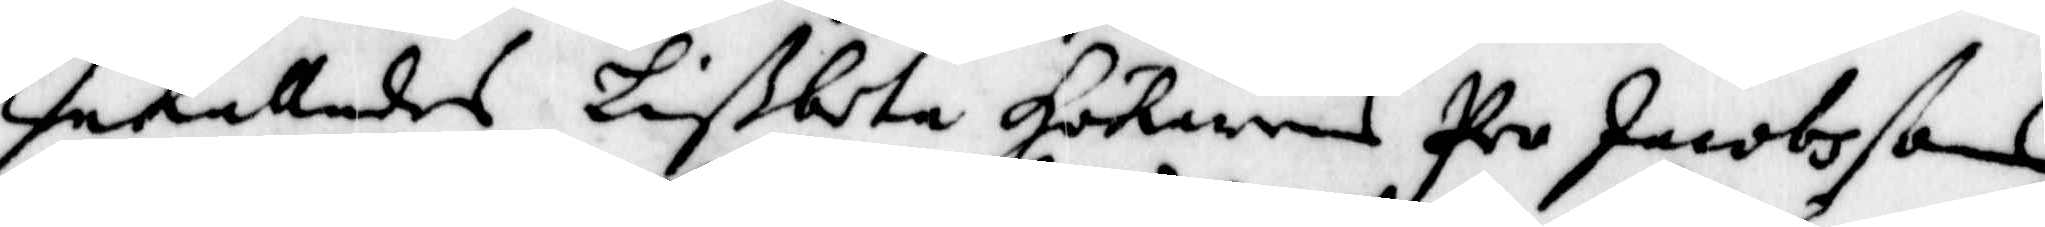Inkallades Lißbeta Hökarens Per Jacobssons
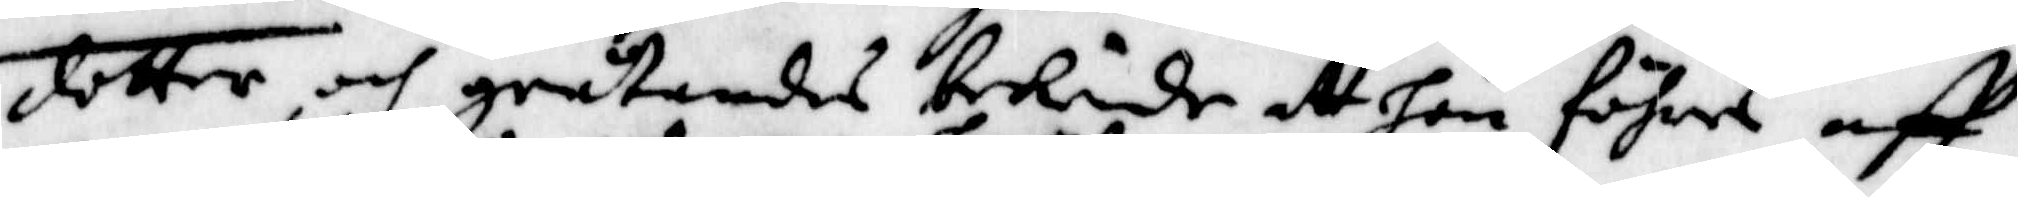dotter, och gråtandes bekiende at hon föhres aff
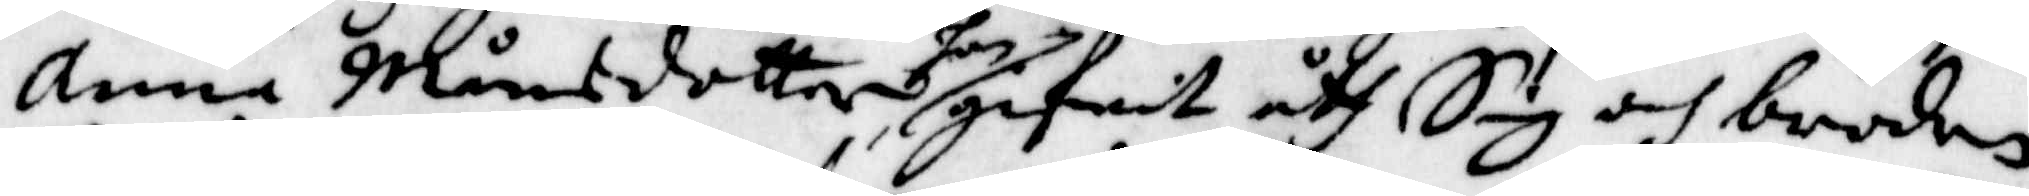Anna Månsdotter hon gifwet åth Sig och brodern
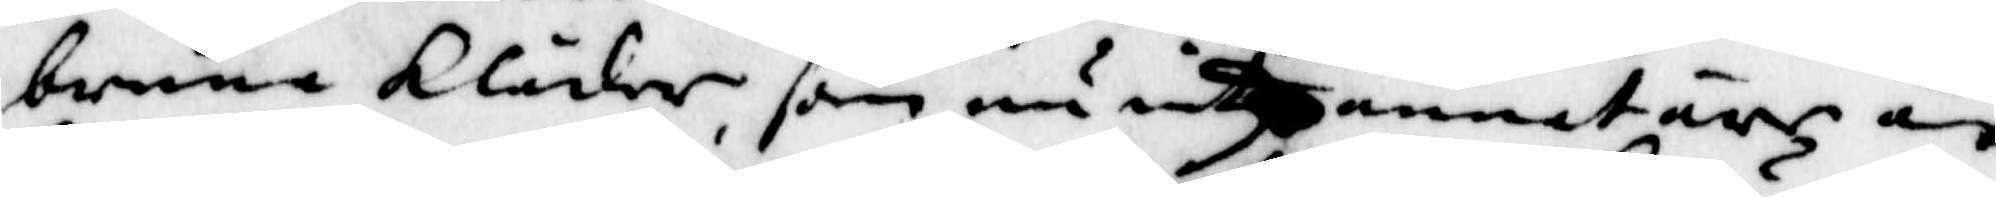bruna Kläder som nu intz annat ähr än
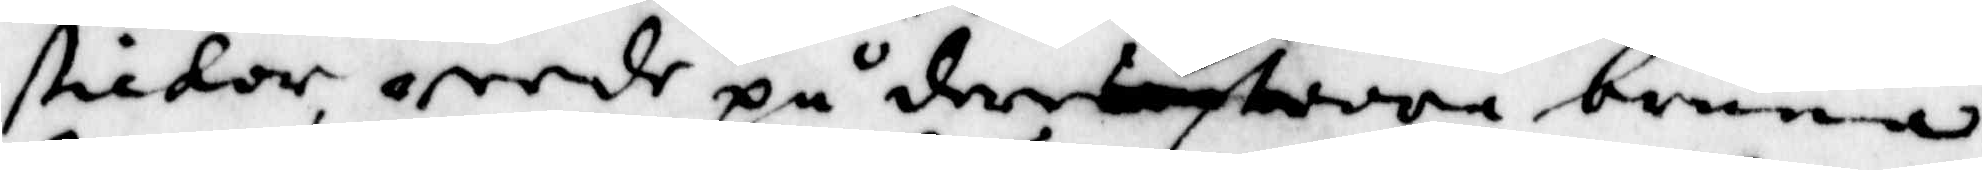stickor annde på den stoora bruna
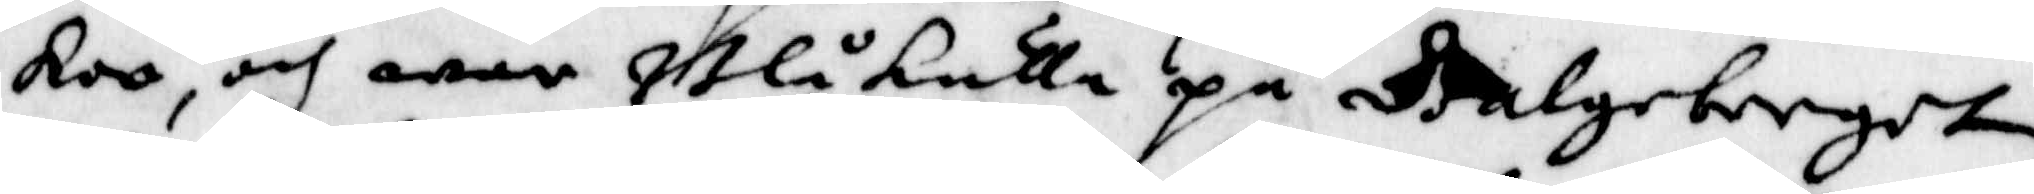Koo, och war Blåkulla på Galgeberget
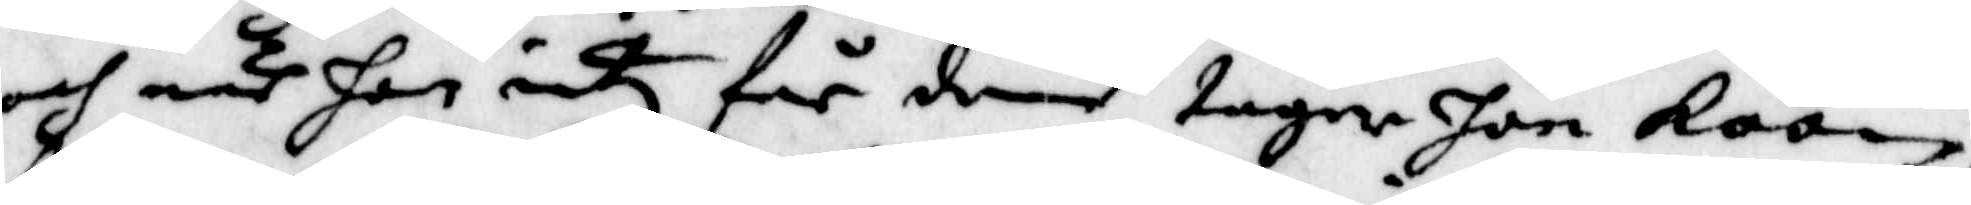och när hon intz får dem, tager hon Koon,
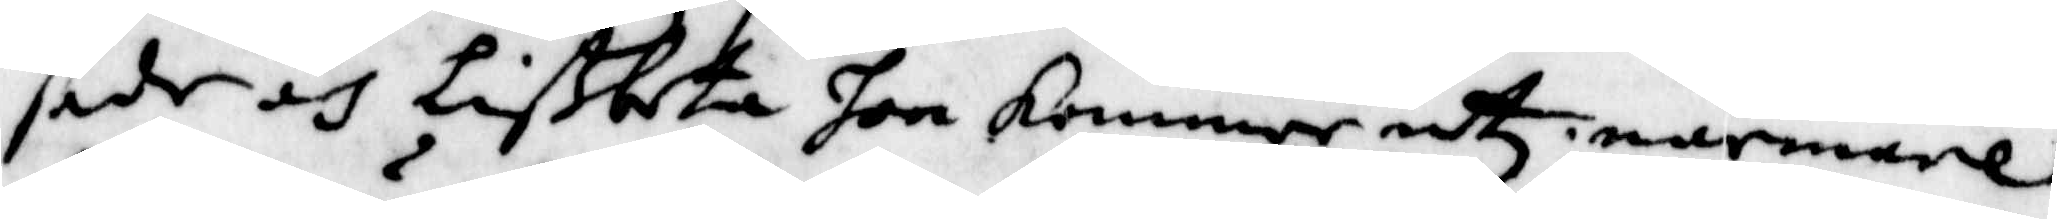sade och Lißbeta hon kommer intz närmare
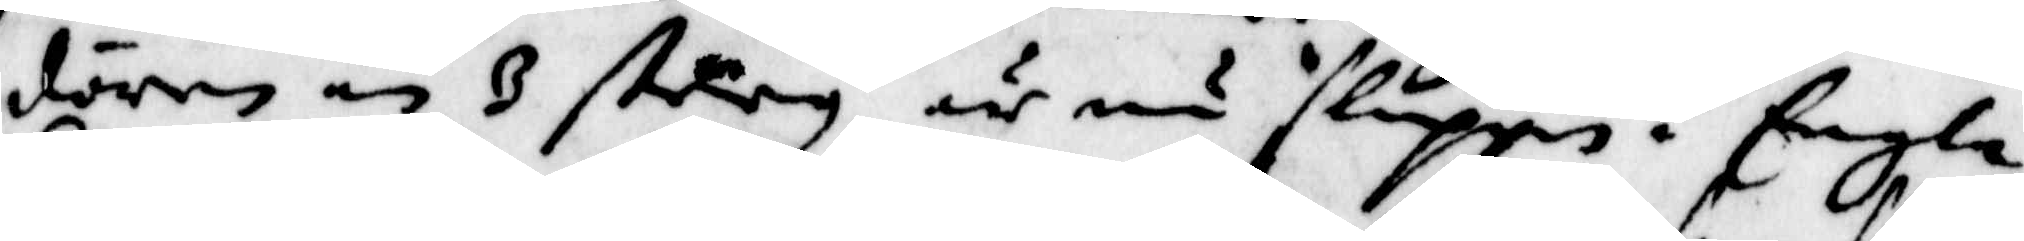dören än 3 steg, är nu sluppen i Engla
